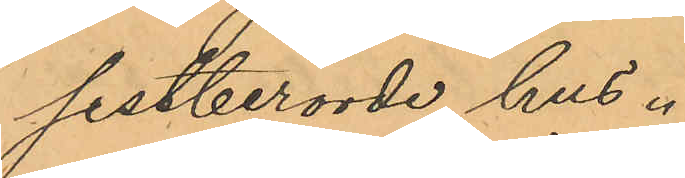sistberörde hus.
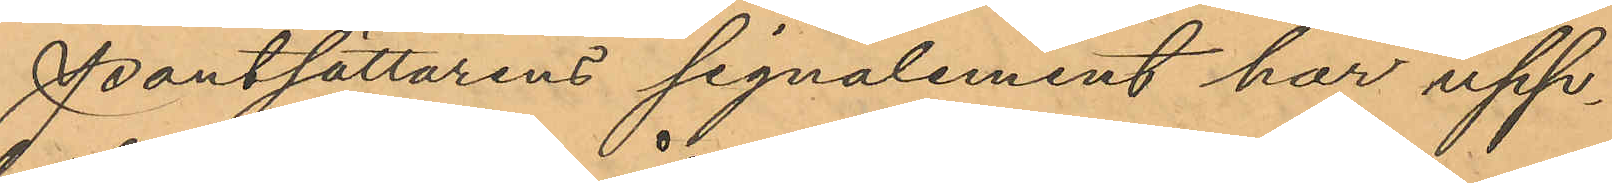Pantsättarens signalement har upp¬
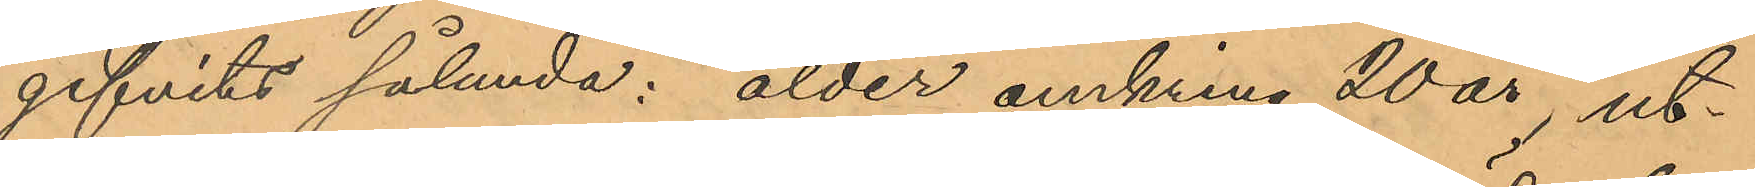gifvits sålunda: ålder omkring 20 år, ut¬
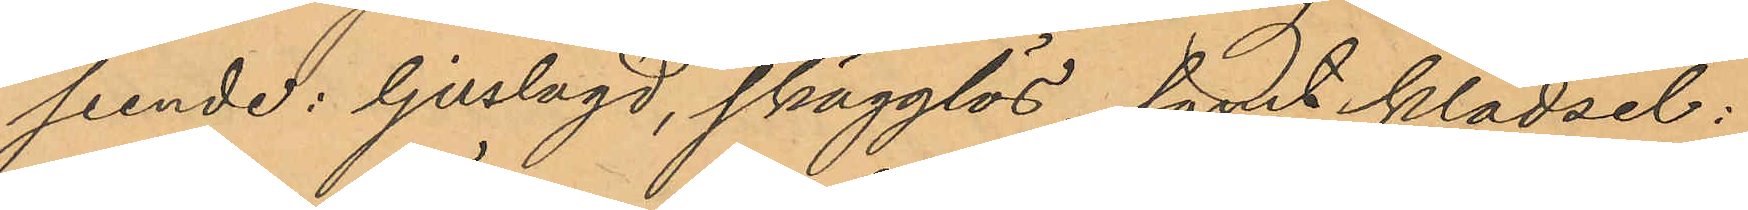seende: ljuslagd, skägglös, samt klädsel:
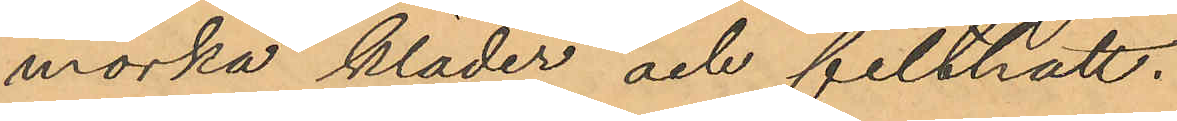mörka kläder och filthatt.
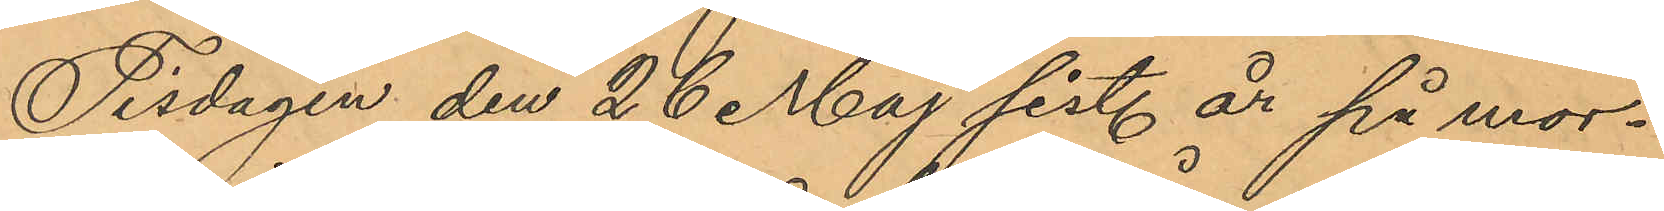Tisdagen den 26 Maj sist. år på mor¬
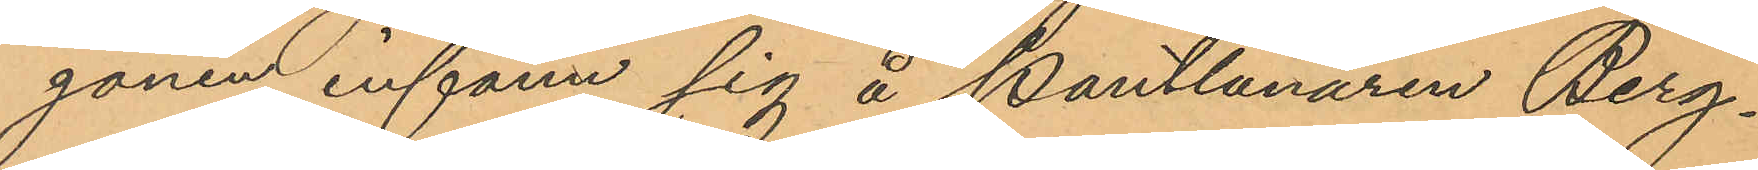gonen infann sig å Pantlånaren Berg¬
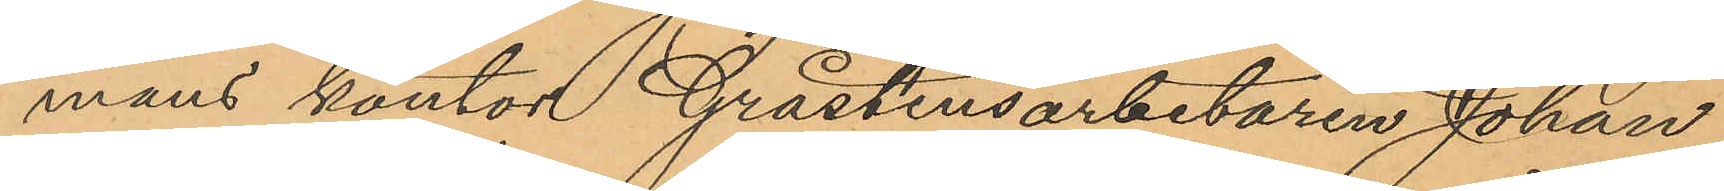mans kontor Gråstensarbetaren Johan
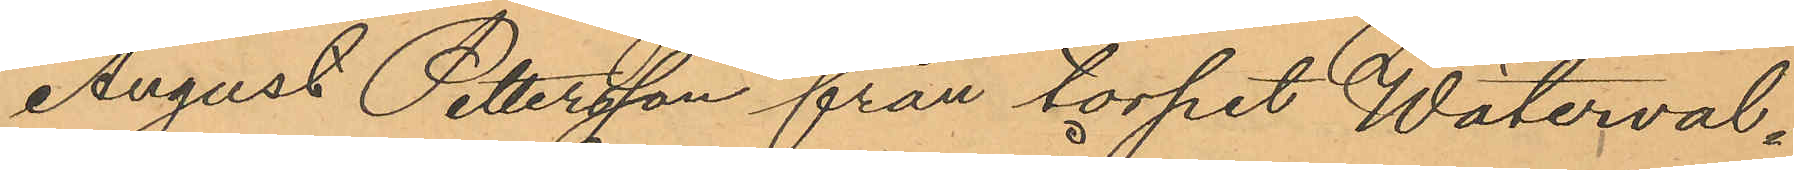August Pettersson från torpet Wäterval¬
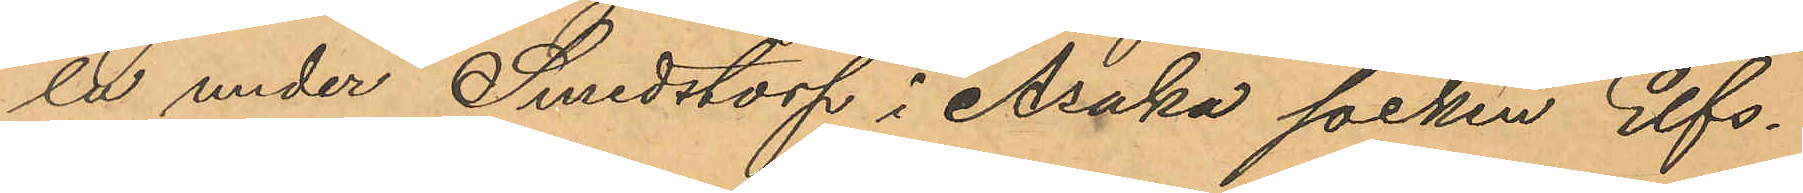la under Smedstorp i Åsaka socken Elfs¬
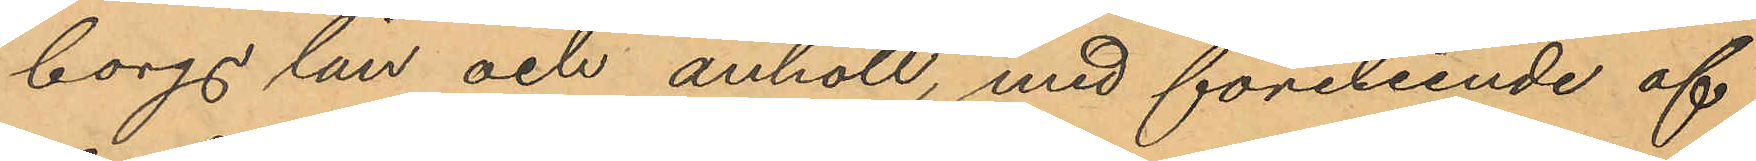borgs län och anhöll, med företeende af
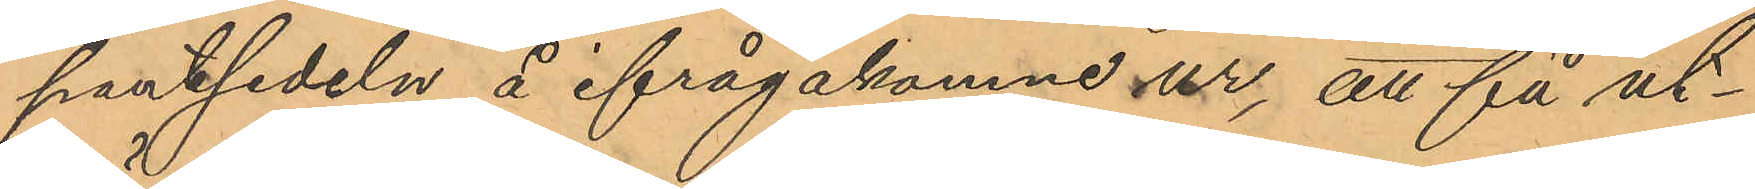pantsedeln å ifrågakomne ur, att få ut¬
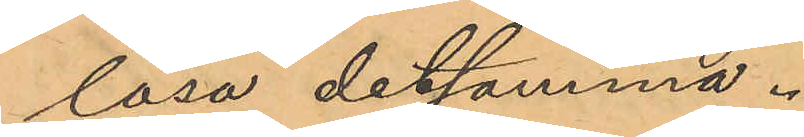lösa detsamma.
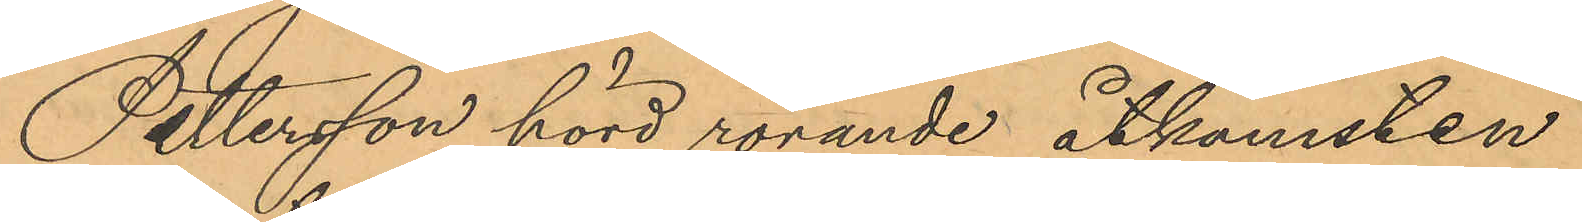Pettersson hörd rörande åtkomsten
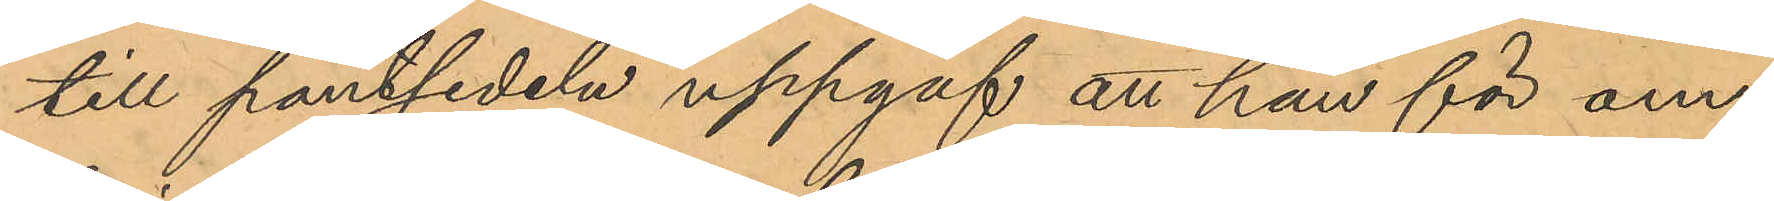till pantsedeln uppgaf att han för om¬
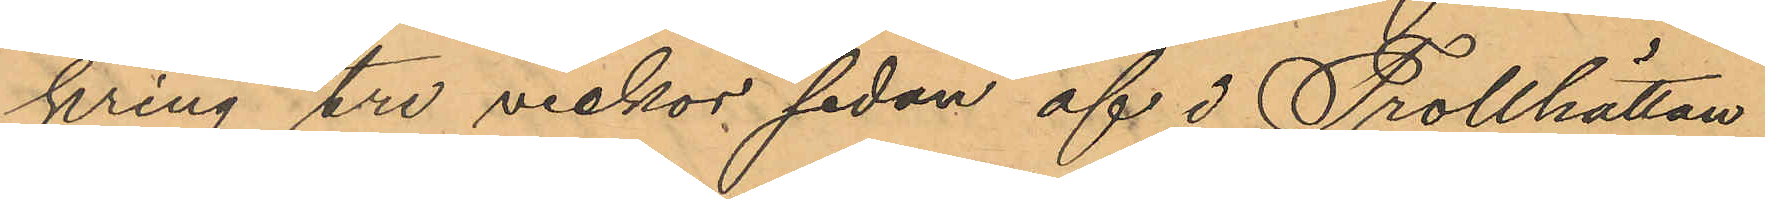kring tre veckor sedan af i Trollhättan
